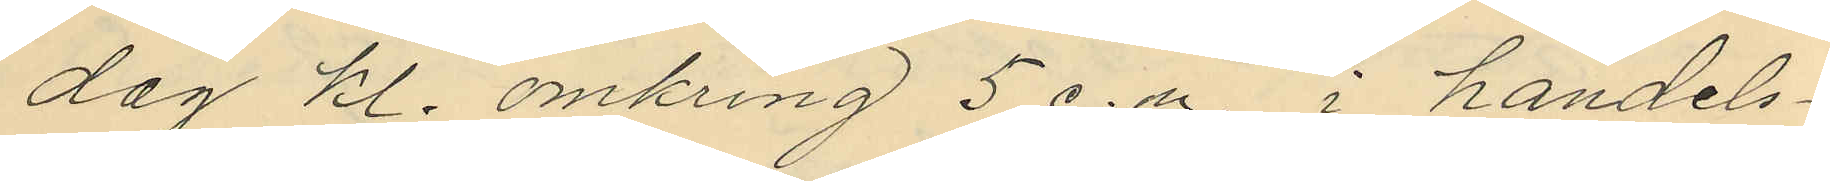dag kl. omkring 5 e.m. i handels¬
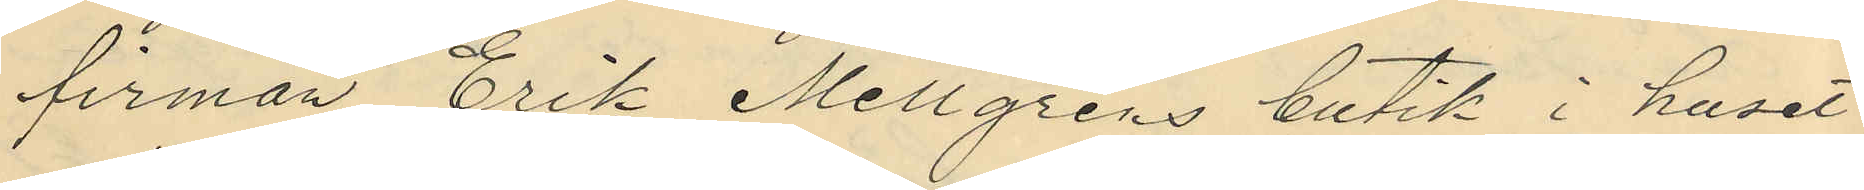firman Erik Mellgrens butik i huset
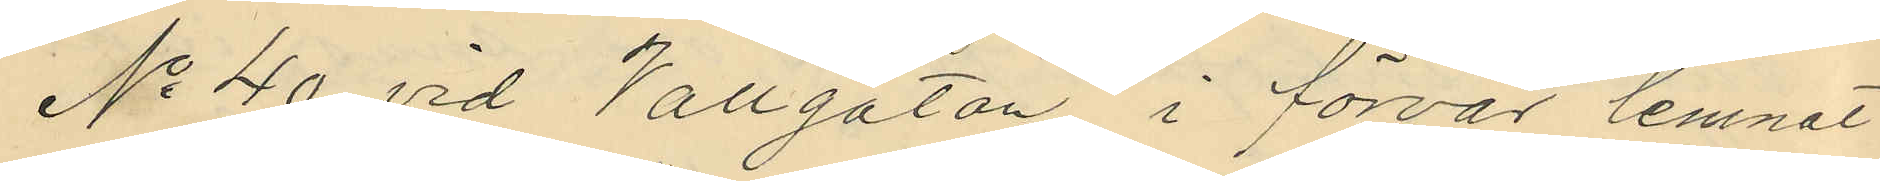No 40 vid Vallgatan i förvar lemnat
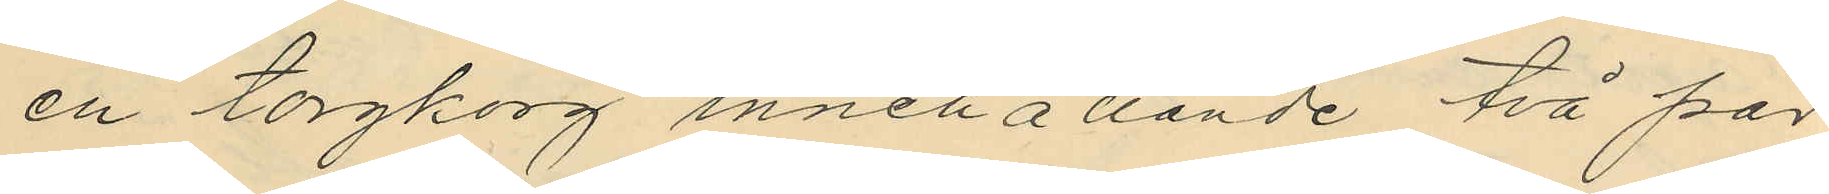en torgkorg innehållande två par
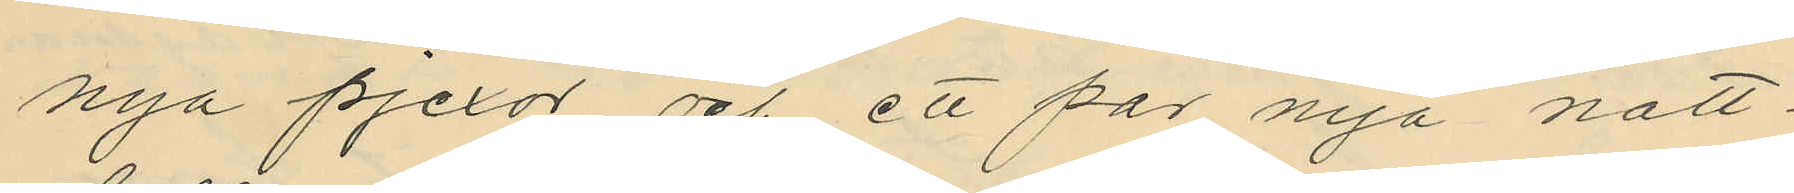nya pjexor och ett par nya natt¬
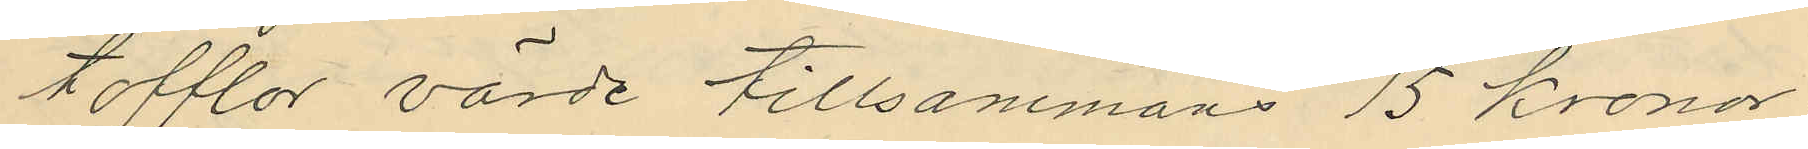tofflor värde tillsammans 15 kronor;
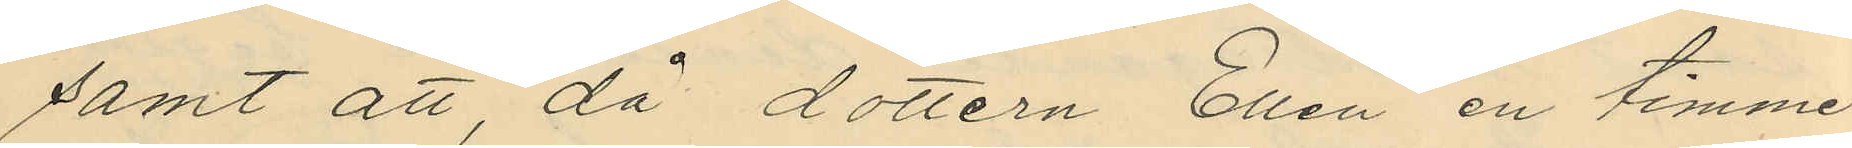samt att, då dottern Ellen en timme
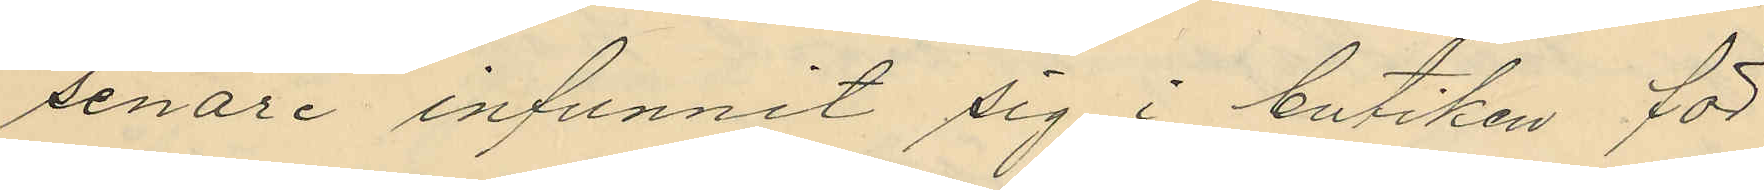senare infunnit sig i butiken för
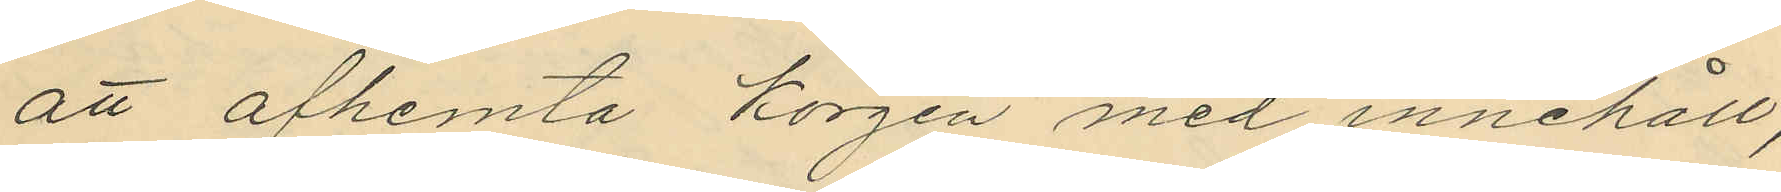att afhemta korgen med innehåll,
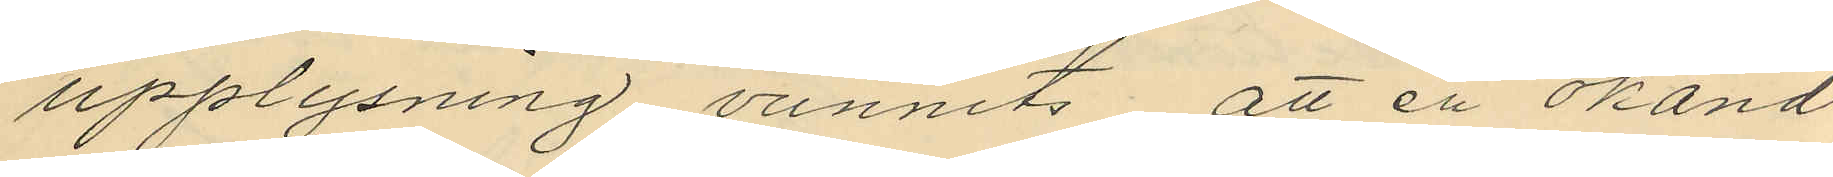upplysning vunnits, att en okänd
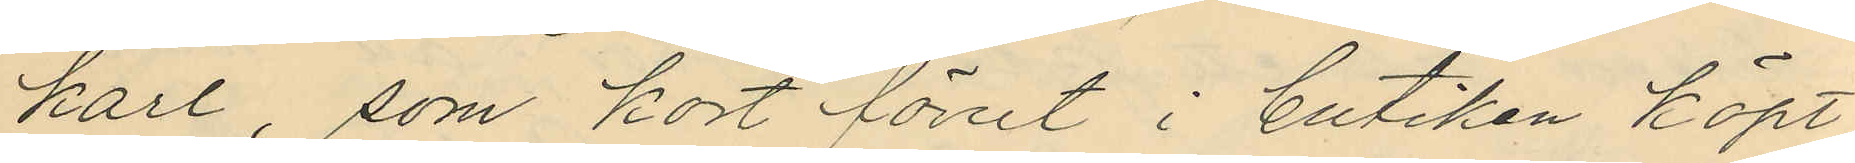karl, som kort förut i butiken köpt
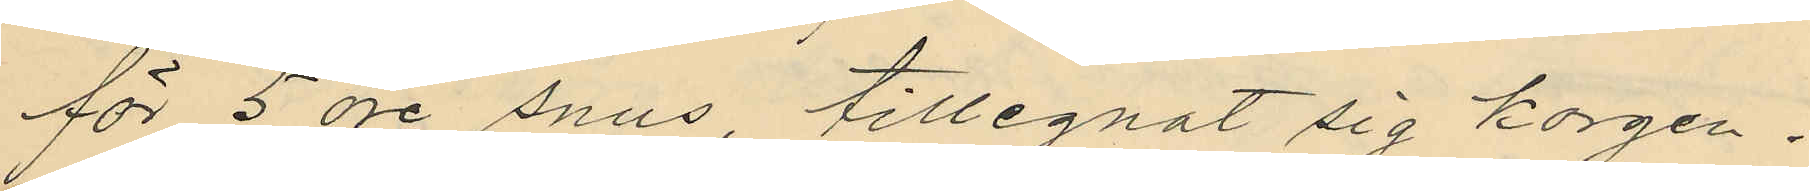för 5 öre snus, tillegnat sig korgen.
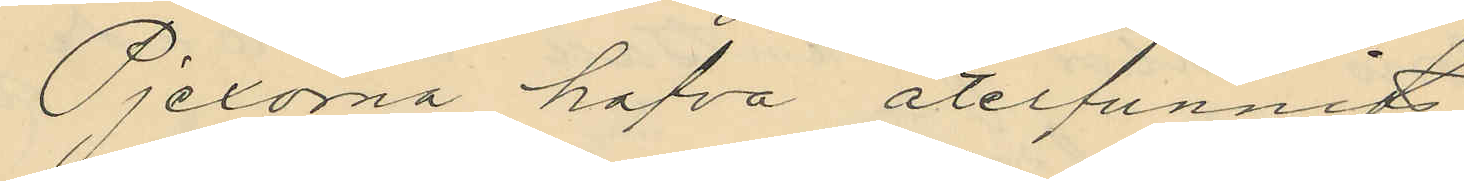Pjexorna hafva återfunnits
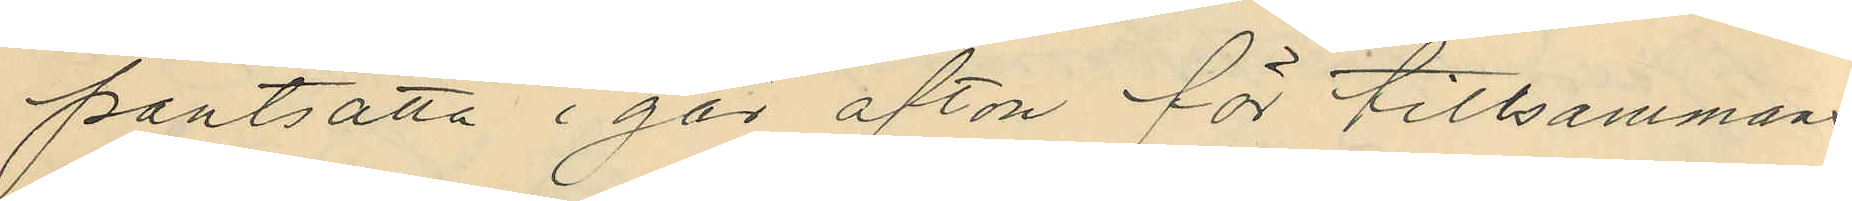pantsatta i går afton för tillsammans
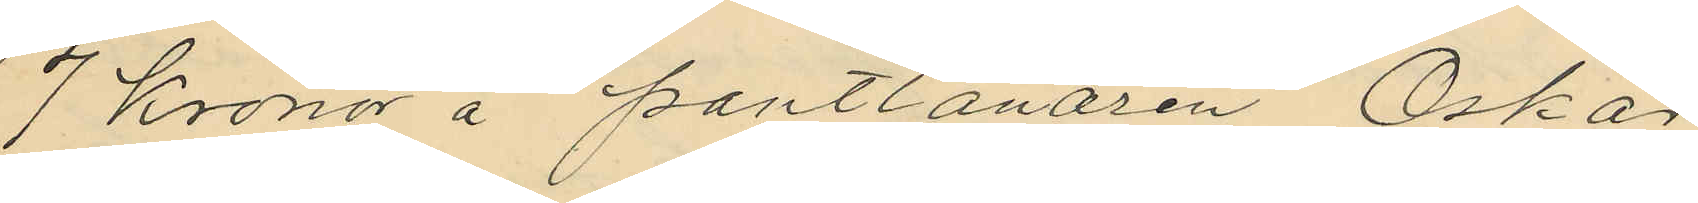7 kronor å pantlånaren Oskar
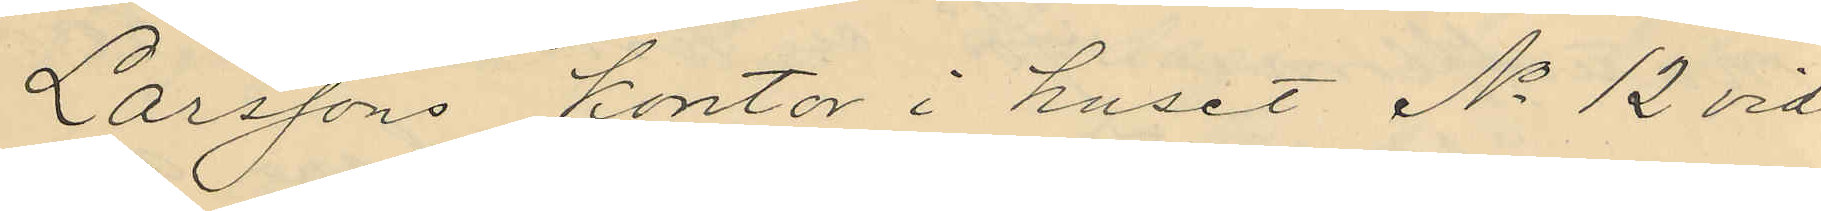Larssons kontor i huset No 12 vid
